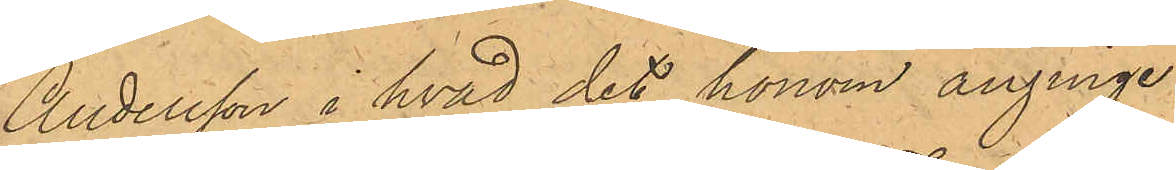Andersson i hvad det honom anginge;
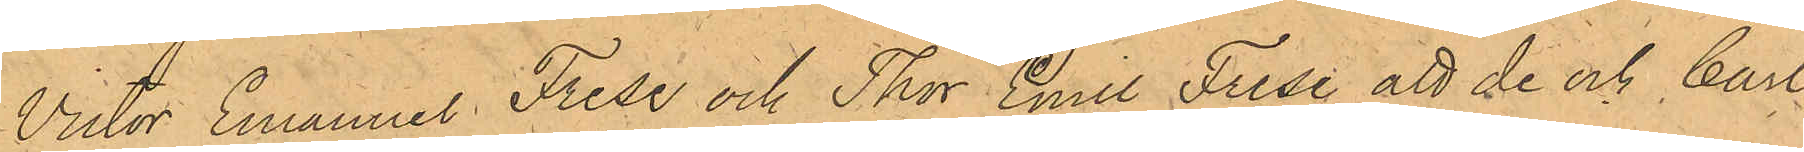Victor Emanuel Frise och Thor Emil Frise att de och Carl
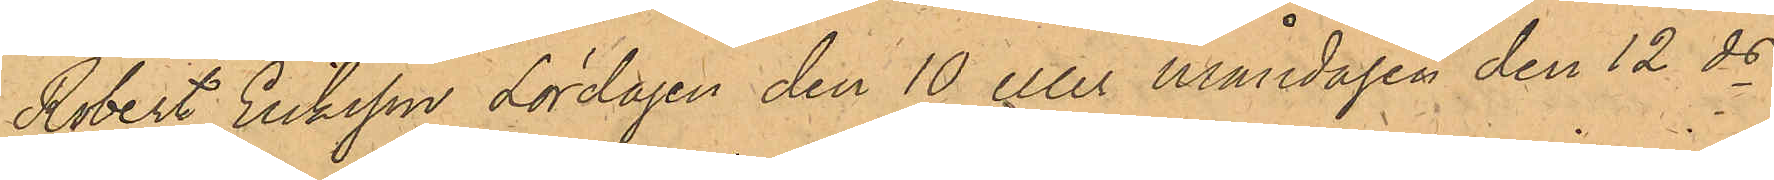Robert Eriksson Lördagen den 10 eller Måndagen den 12 ds
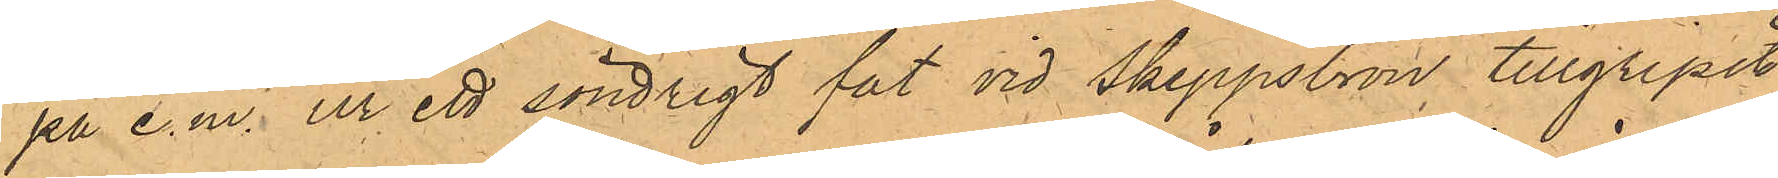på e.m. ur ett söndrigt fat vid Skeppsbron tillgripit
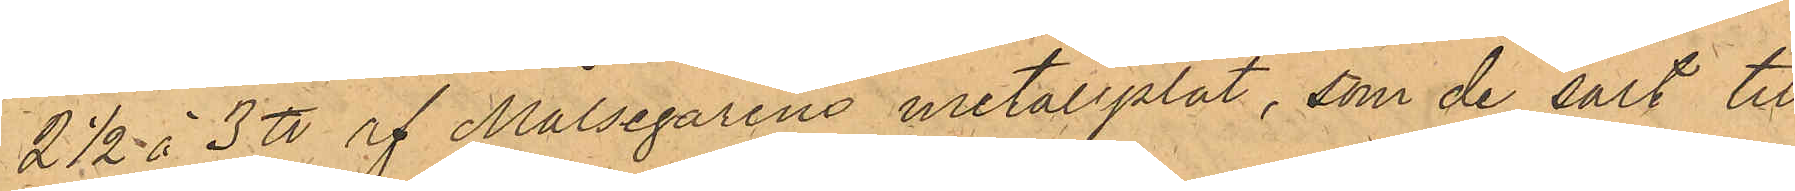2 1/2 à 3 ℔ af Målsegarens metallplåt, som de sålt till
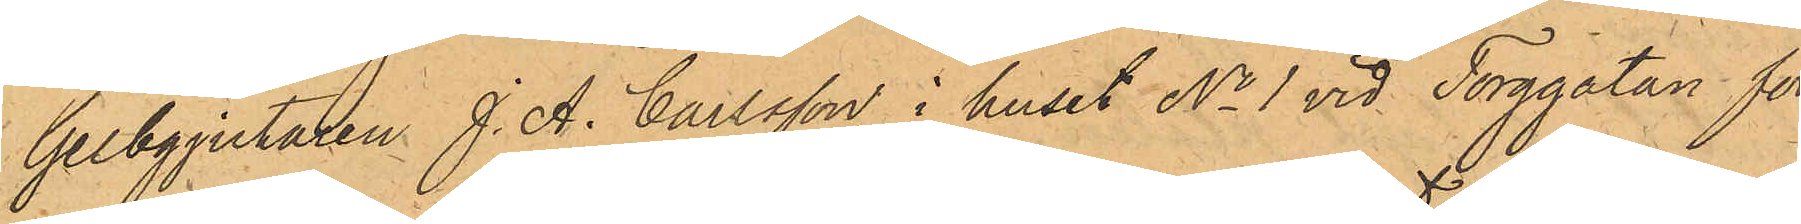Gelbgjutaren J. A. Carlsson i huset No 1 vid Torggatan för
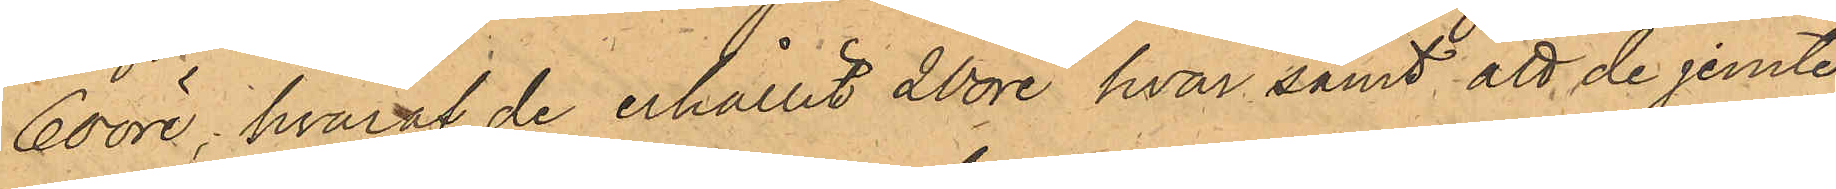60 öre, hvaraf de erhållit 20 öre hvar samt att de jemte 
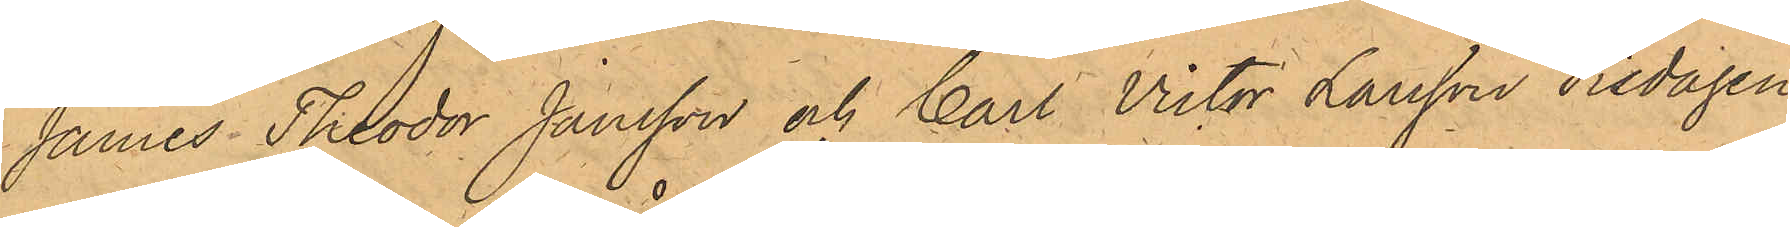James Theodor Jonsson och Carl Victor Larsson Fredagen
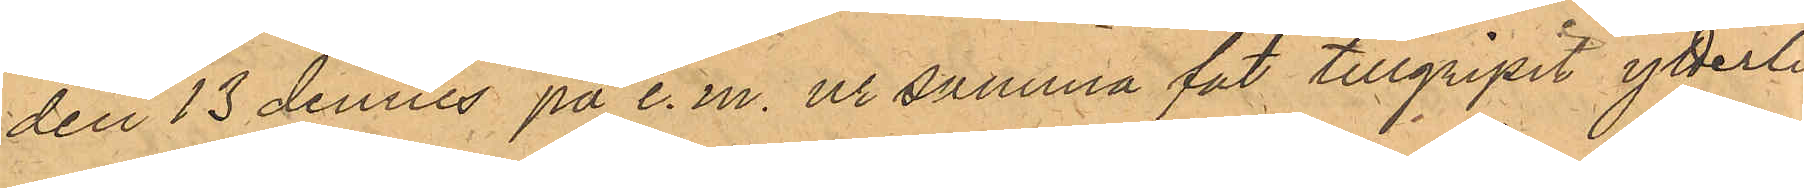den 13 dennes på e.m. och ur samma fat tillgripit ytterli¬
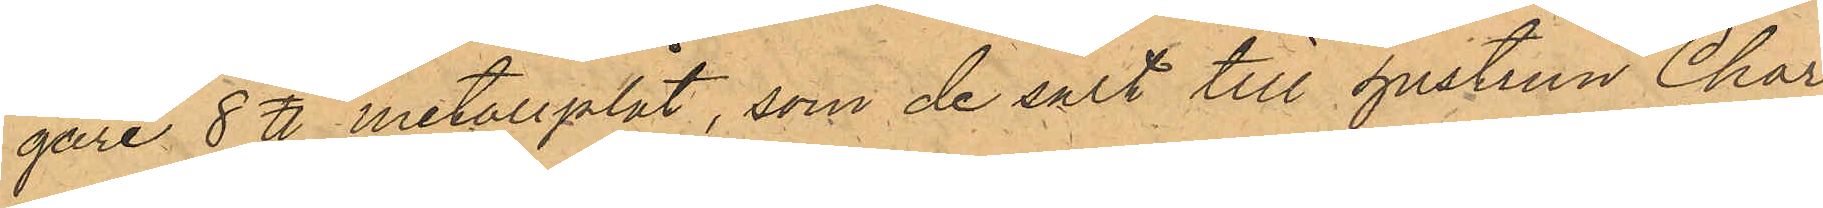gare 8 ℔ metllplåt, som de sålt till hustrun Char¬
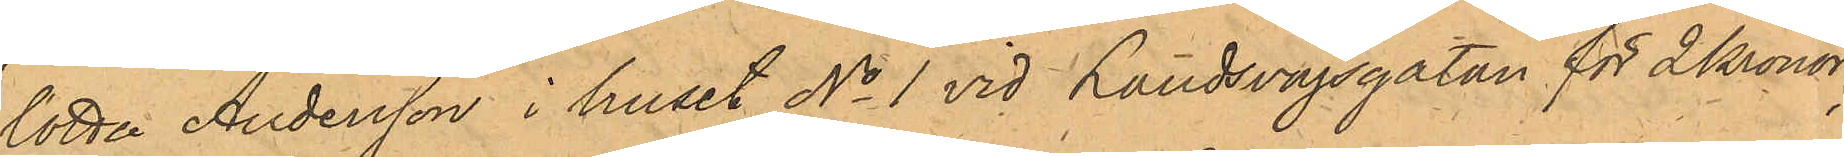lotta Andersson i huset No 1 vid Landsvägsgatan för 2 Kronor;
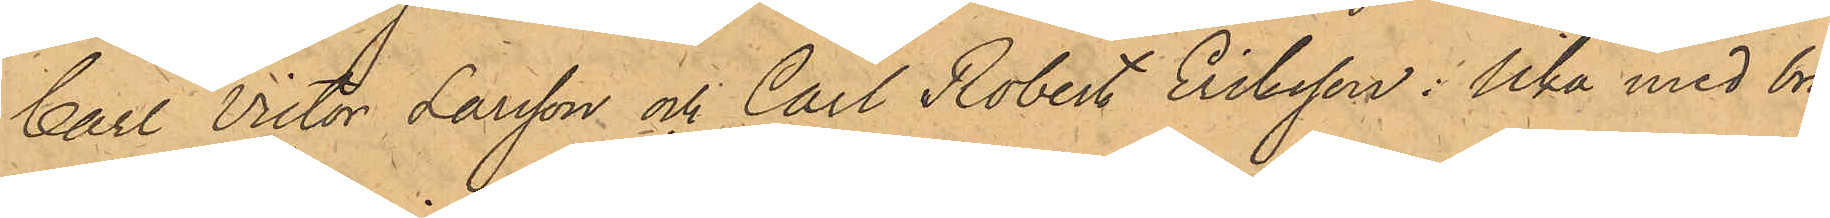Carl Victor Larsson och Carl Robert Eriksson: lika med brö¬
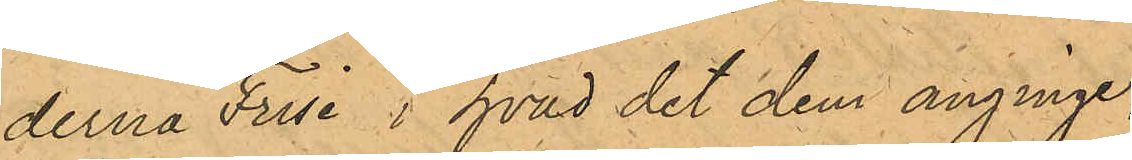derna Frise i hvad det dem anginge.
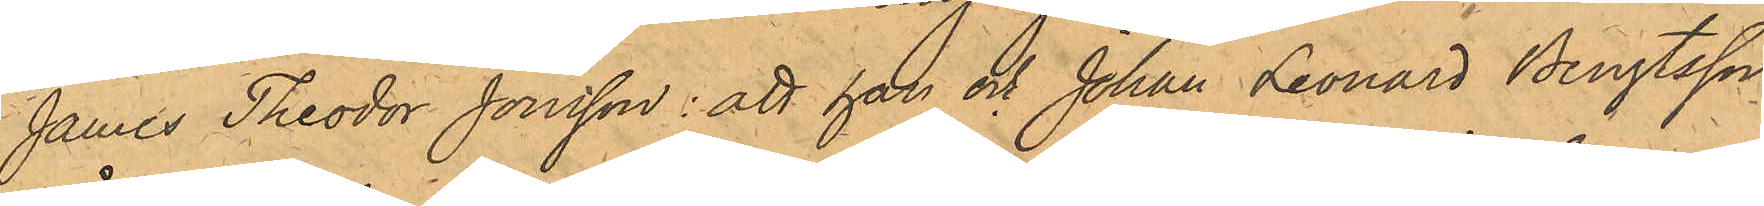James Theodor Jonsson: att han och Johan Leonard Bengtsson
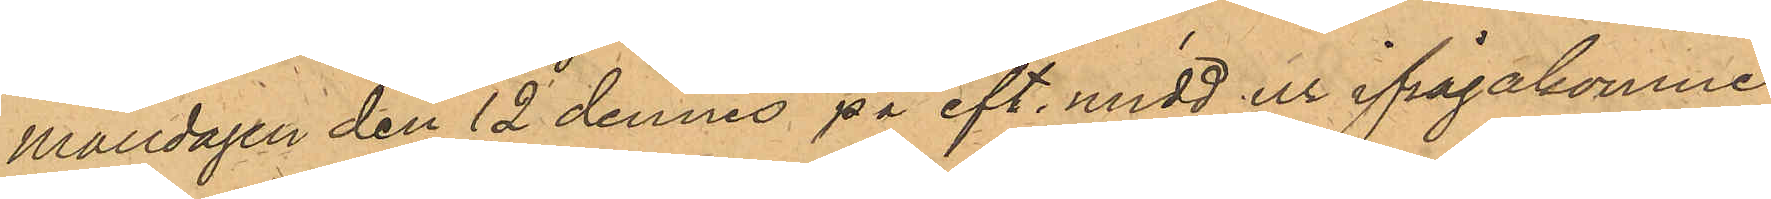Måndagen den 12 dennes på eft. midd ur ifrågakomne
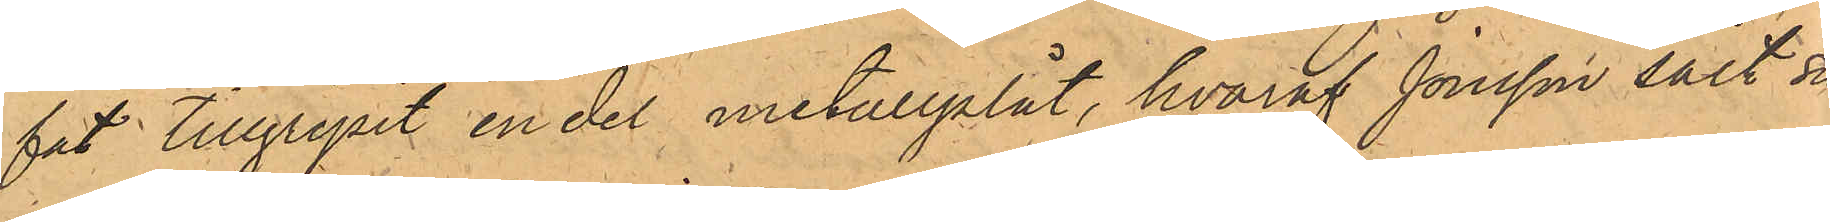fat tillgripit en del metallplåt, hvaraf Jonsson sålt sin
